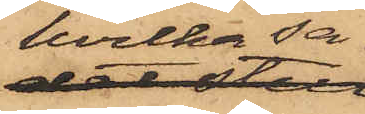hvilka sa¬
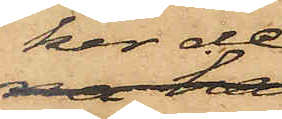ker de
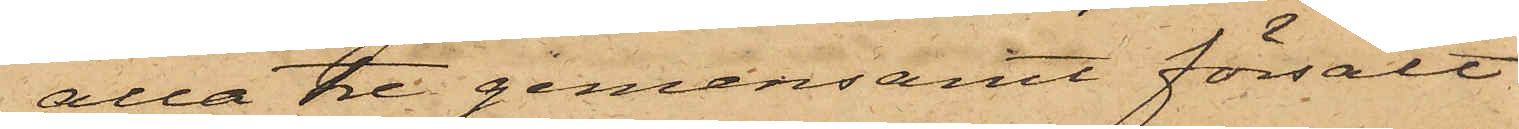alla tre gemensamt försålt
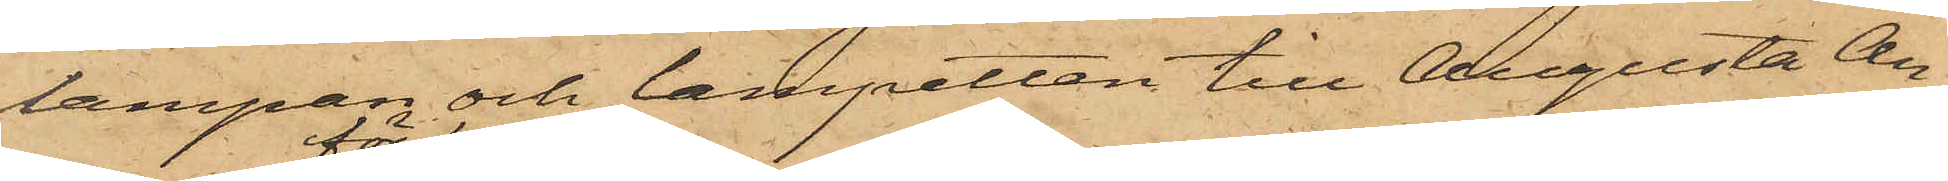lampan och lampetten till Augusta An¬
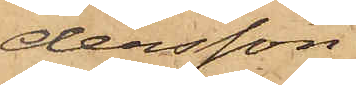dersson
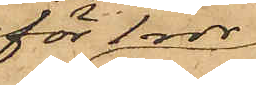för 1 rdr
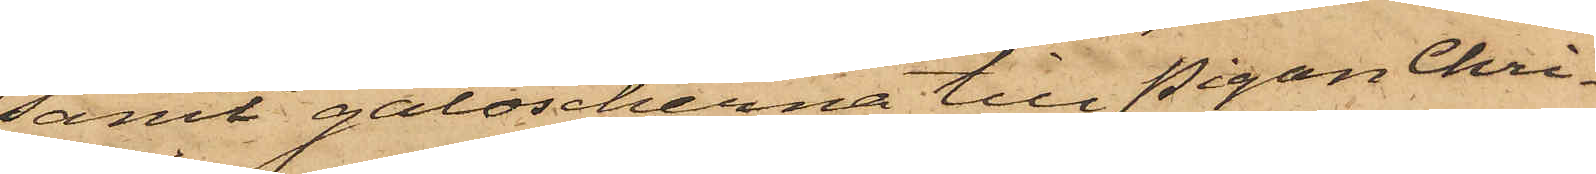samt galoscherna till Pigan Chri¬
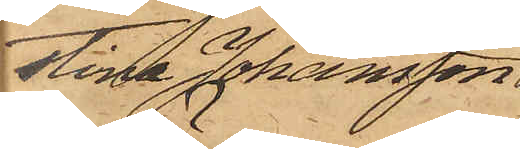stina Johansson
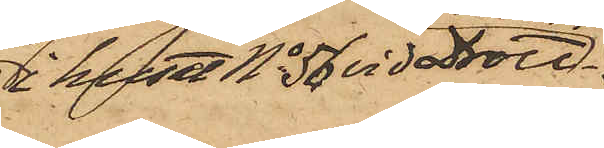i huset No 56 vid Drott¬
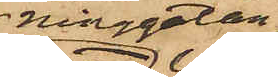ninggatan
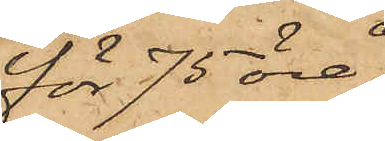för 75 öre;
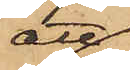att
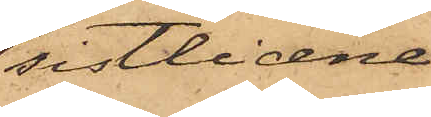sistlidne
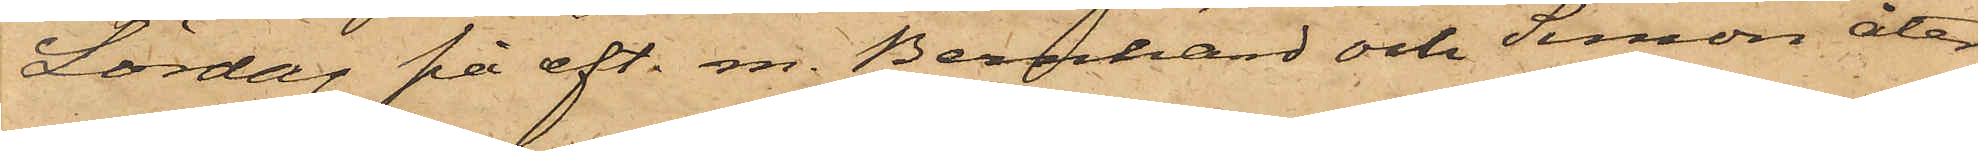Lördag på eft. m. Bernhard och Simon åter
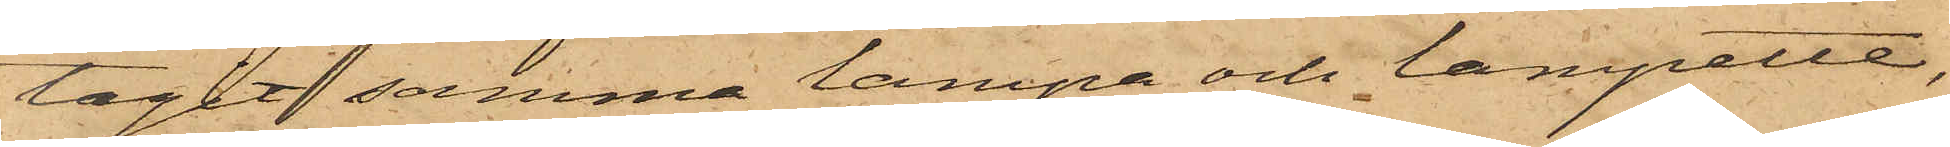tagit samma lampa och lampett,
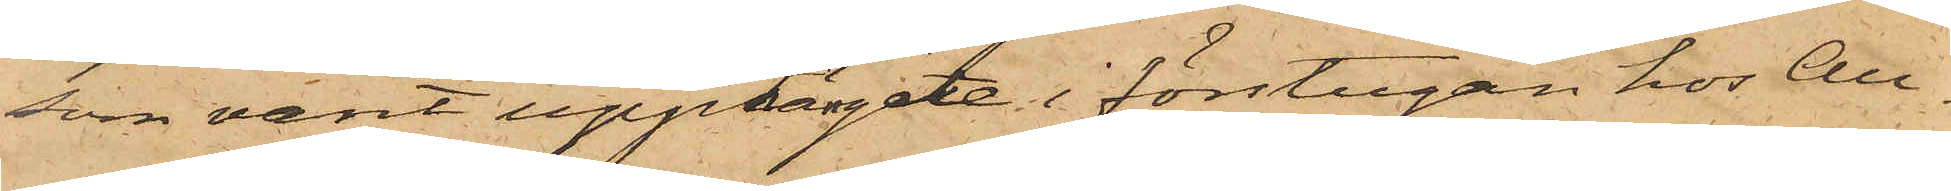som varit upphängde i förstugan hos An¬
